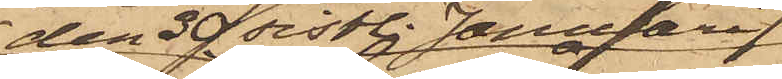den 30 sistl. Januari
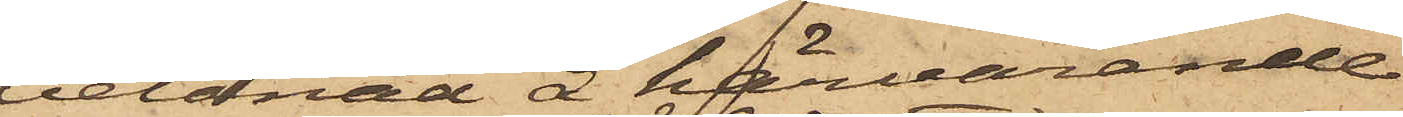belånad å härvarande
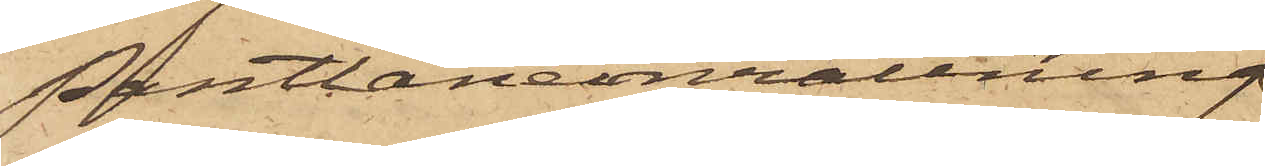Pantlåneinrättning
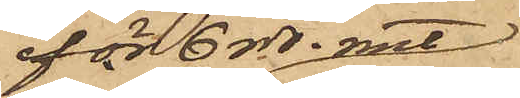för 6 rdr. rmt
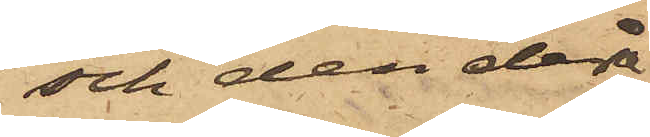och den derå
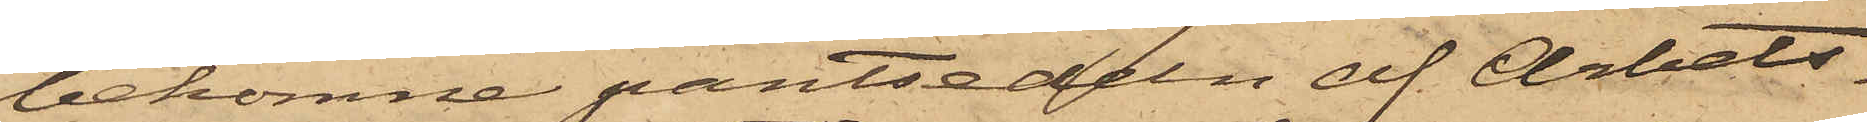bekomne pantsedeln af Arbets¬
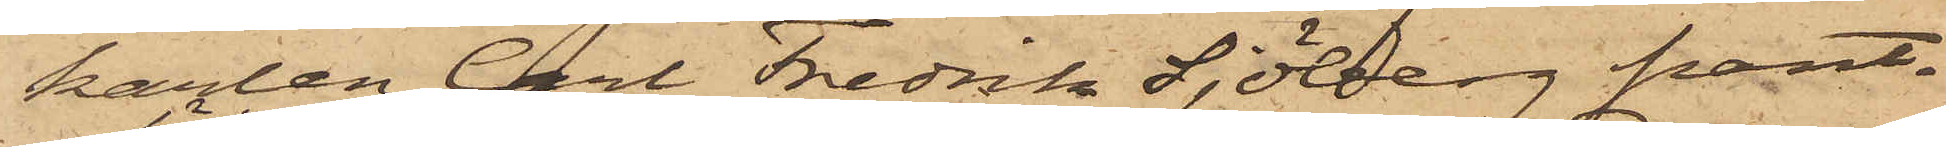karlen Carl Fredrik Sjöberg pant¬
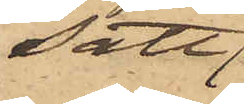satt
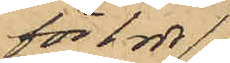för 1 rdr
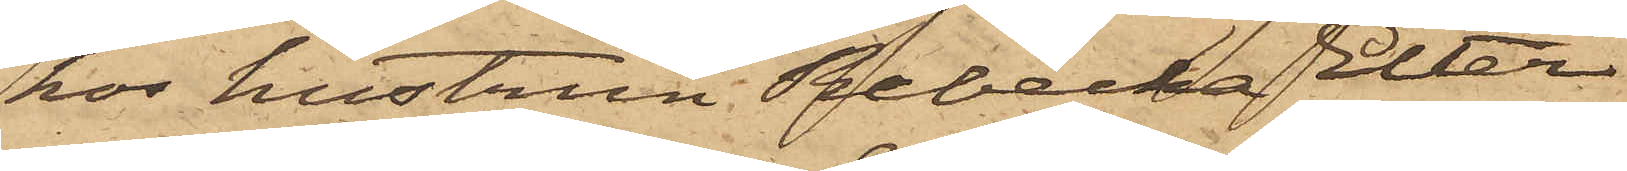hos hustrun Rebecka Elter¬
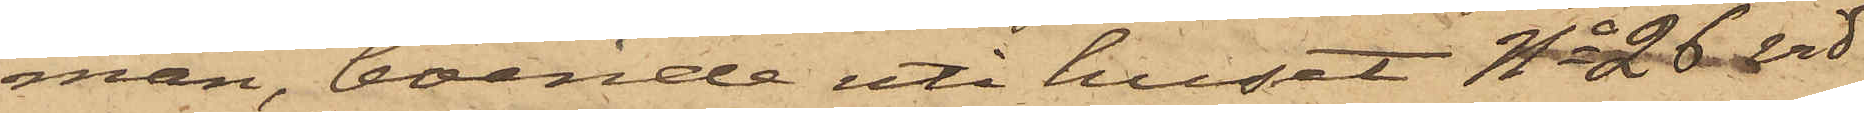man, boende uti huset No 26 vid
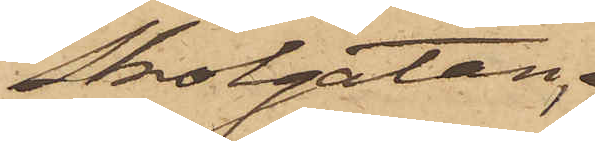Skolgatan;
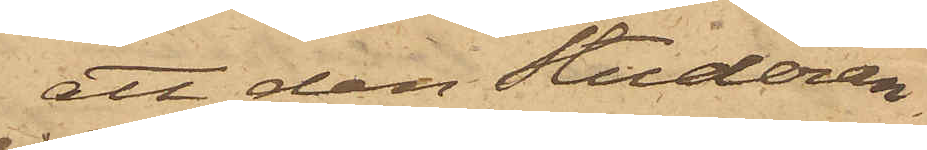att den Studeran¬
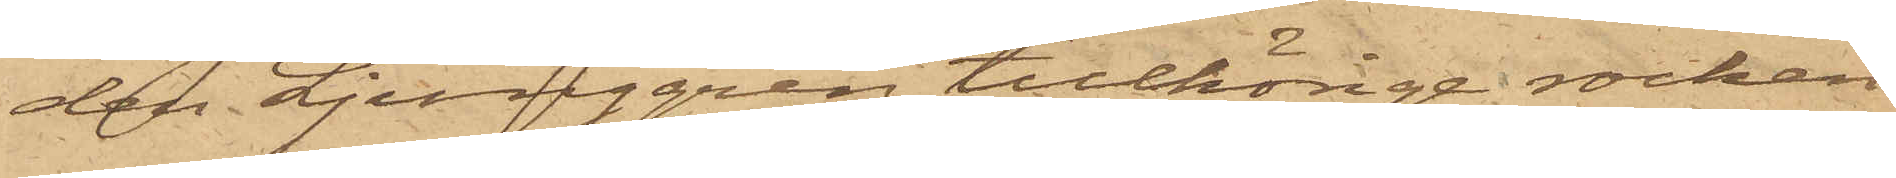de Ljunggren tillhörige rocken
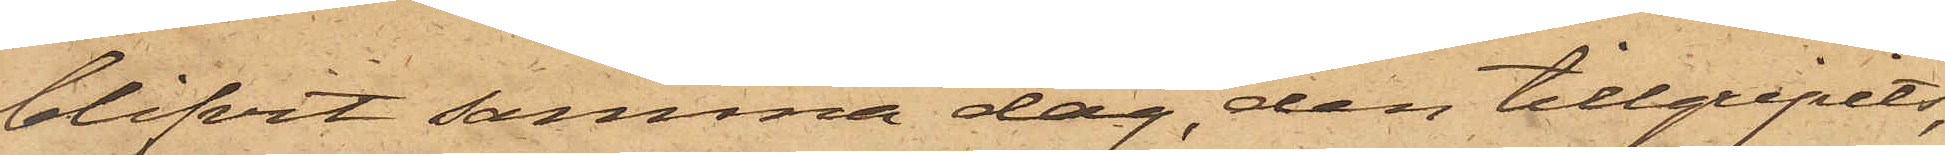blifvit samma dag den tillgripits,
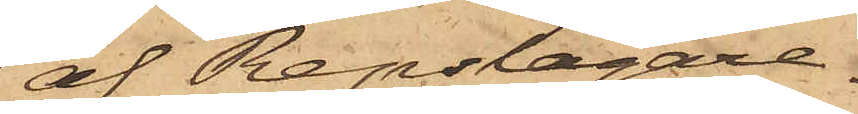af Repslagare¬
